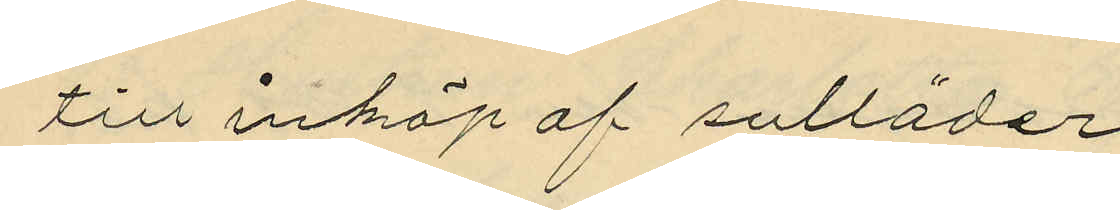till inköp af sulläder
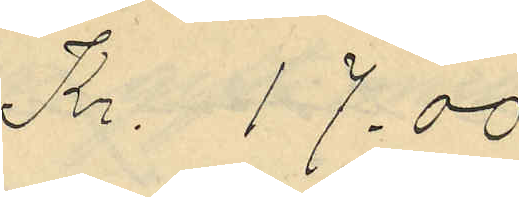Kr. 17.00
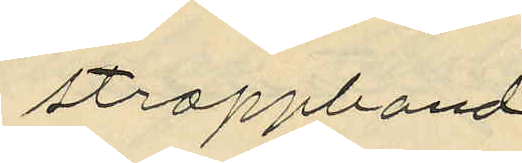stroppband
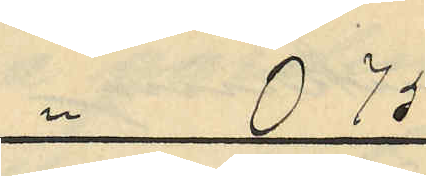" 0.75
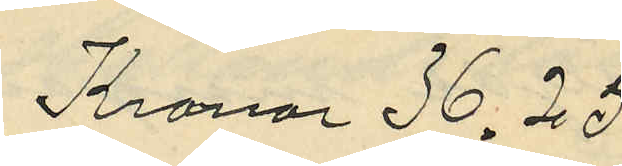Kronor 36.25
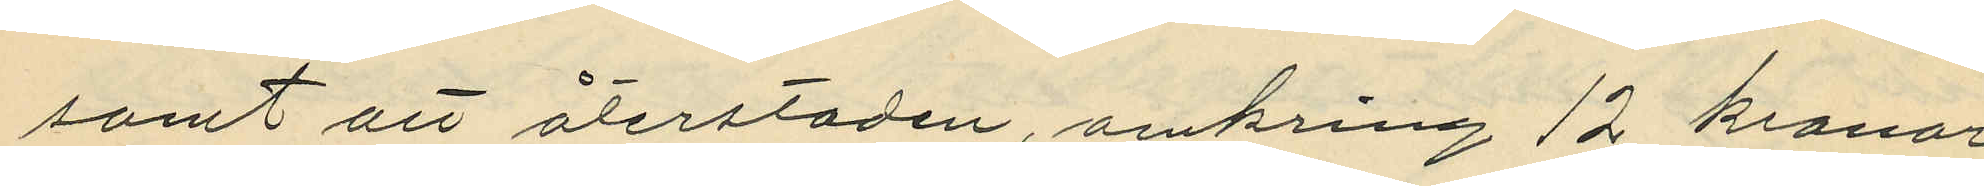samt att återstoden, omkring 12 kronor,
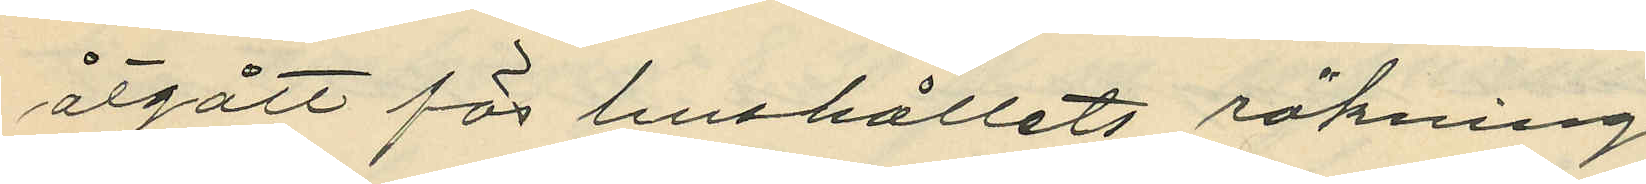åtgått för hushållets räkning.
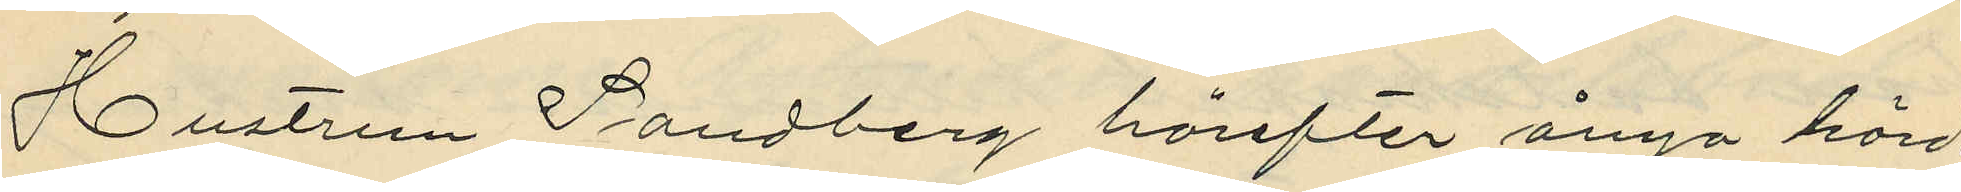Hustrun Sandberg härefter ånyo hörd
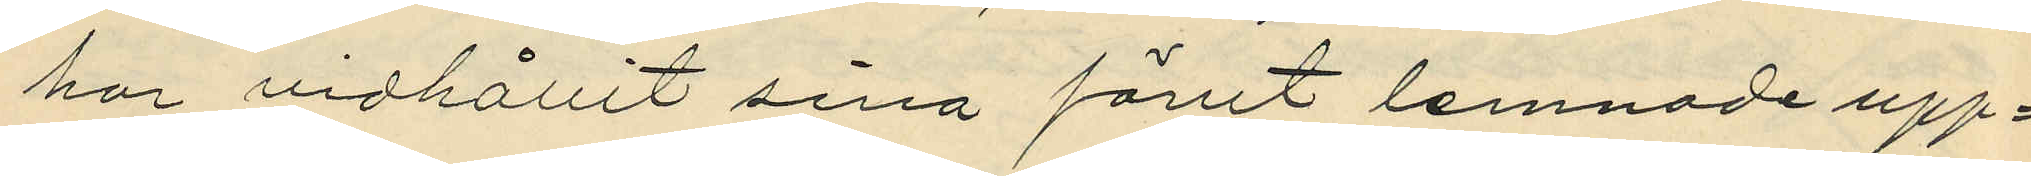har vidhållit sina förut lemnade upp¬
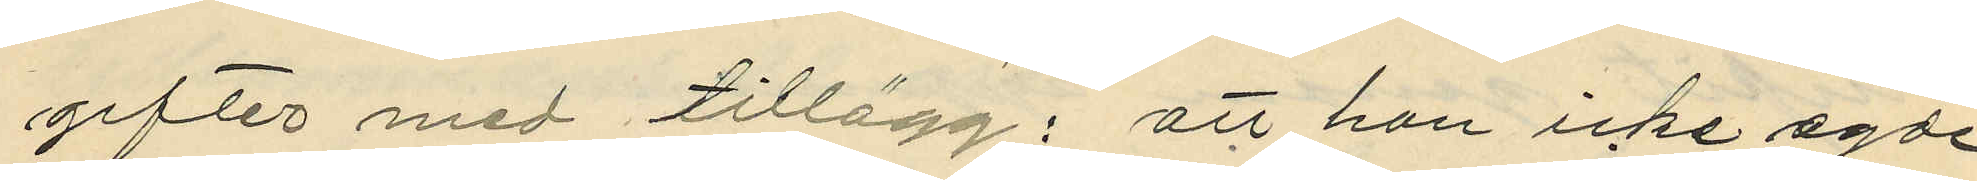gifter med tillägg: att hon icke egde
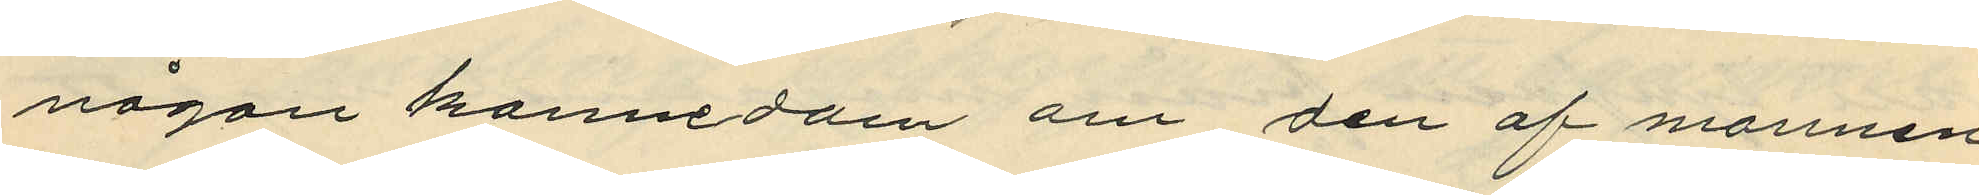någon kannedom om den af mannen
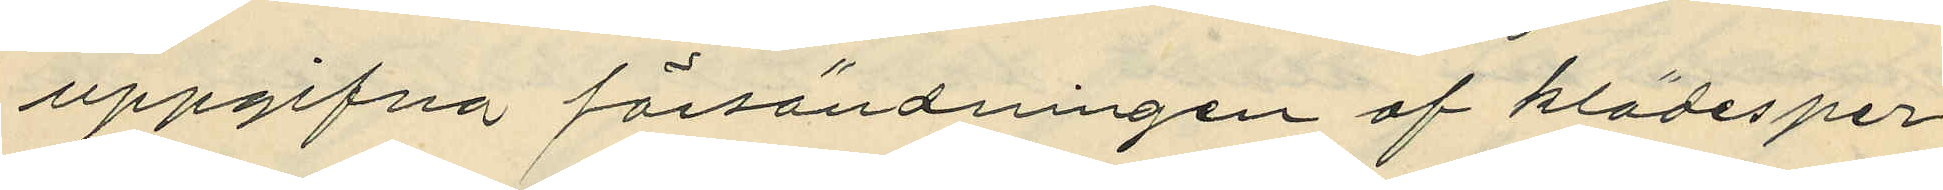uppgifva försändningen af klädesper¬
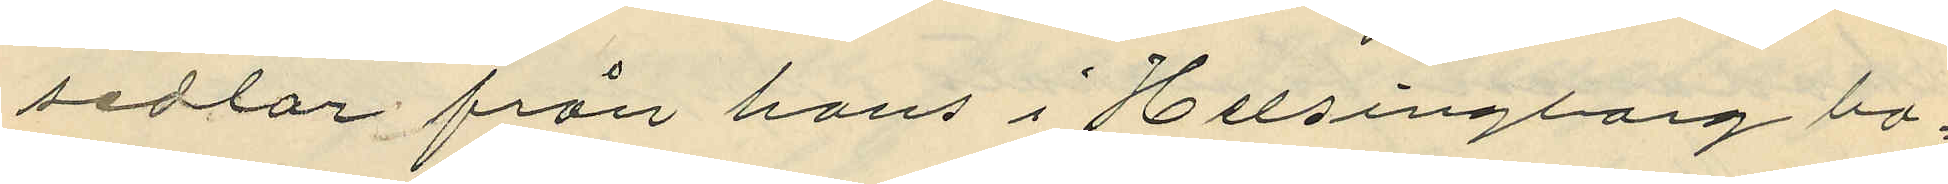sedlar från hans i Helsingborg bo¬
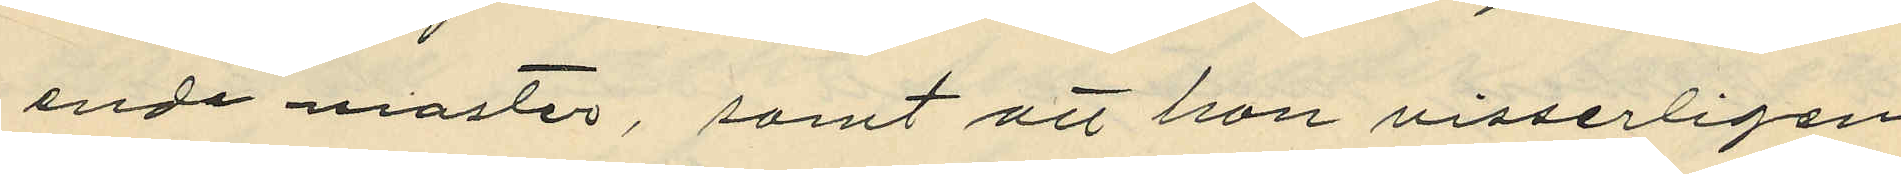ende moster, samt att hon visserligen
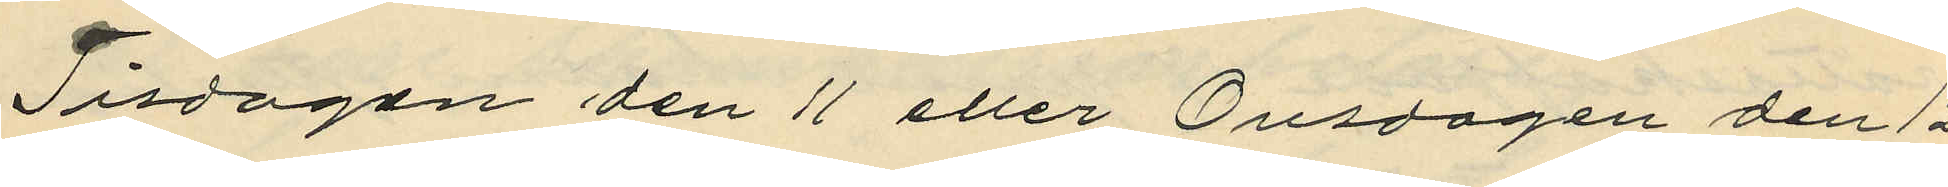Tisdagen de 11 eller Onsdagen den 12
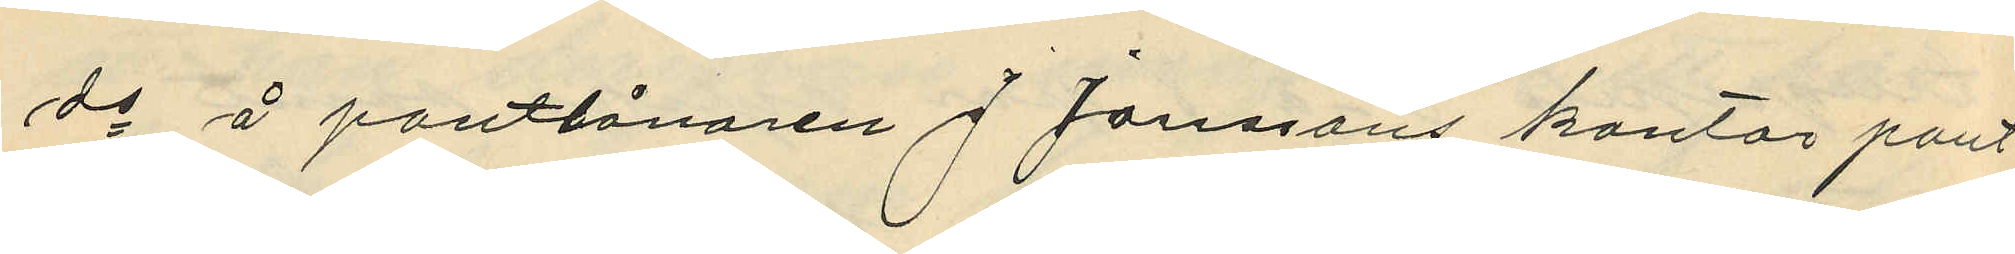ds å pantlånaren J. Janssons kontor pant¬
